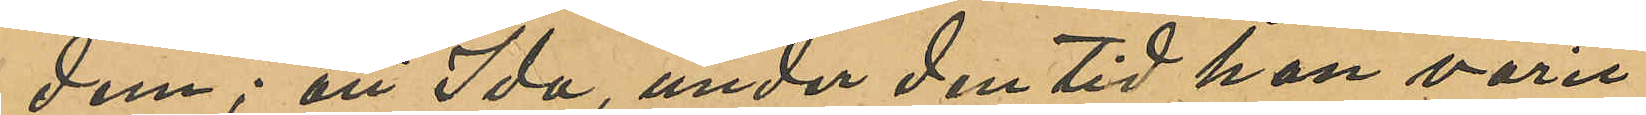dem; att Ida under den tid hon varit
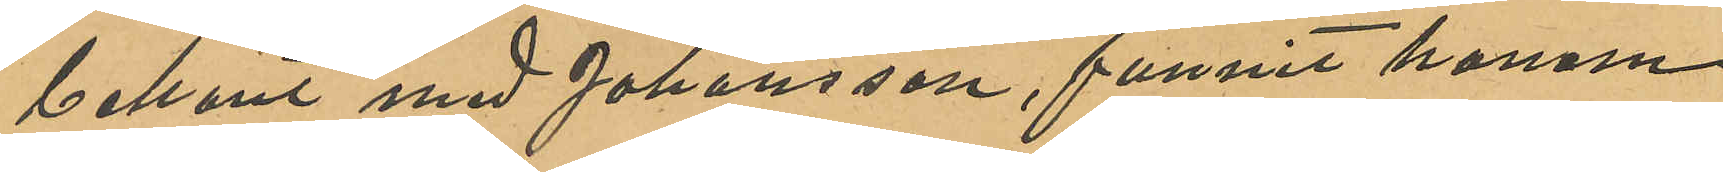bekant med Johansson, funnit honom
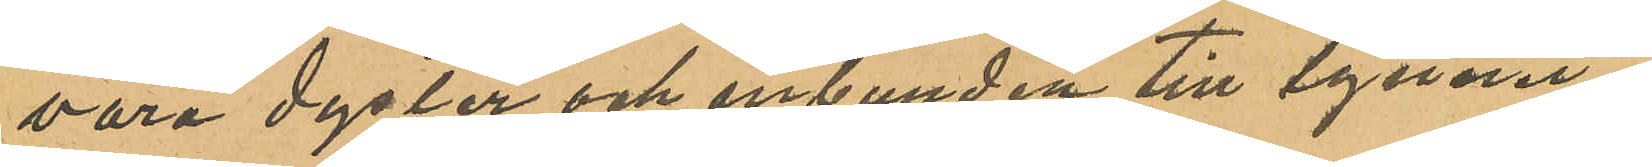vara dyster och inbunden till lynnet;
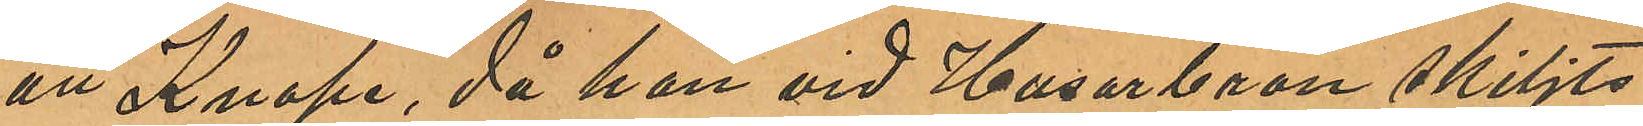att Knape, då han vid Husarbron skiljts
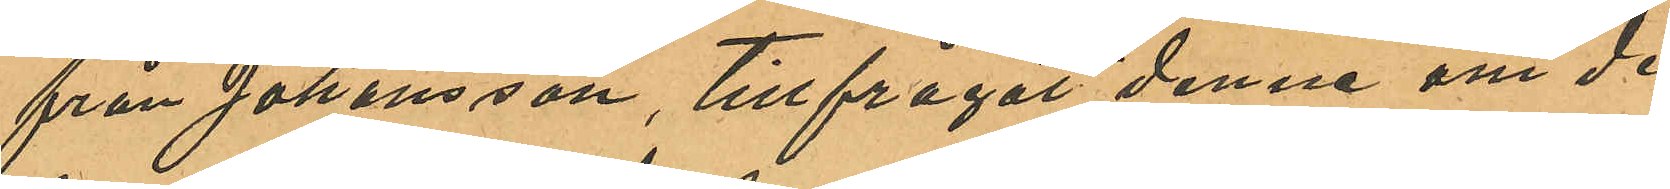från Johansson, tillfrågat denne om de
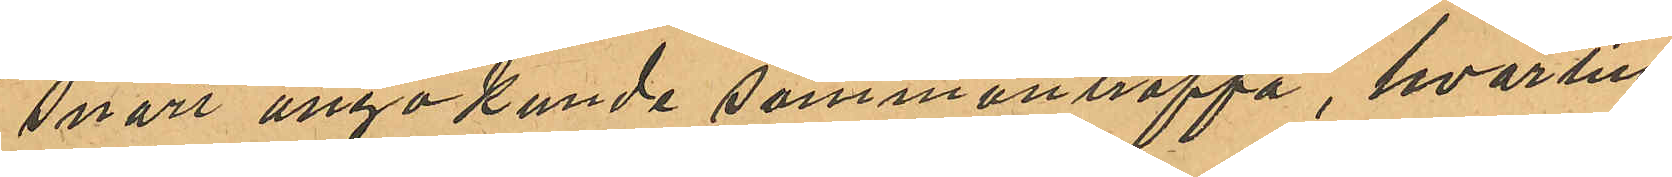snart ånyo kunde sammanträffa, hvartill
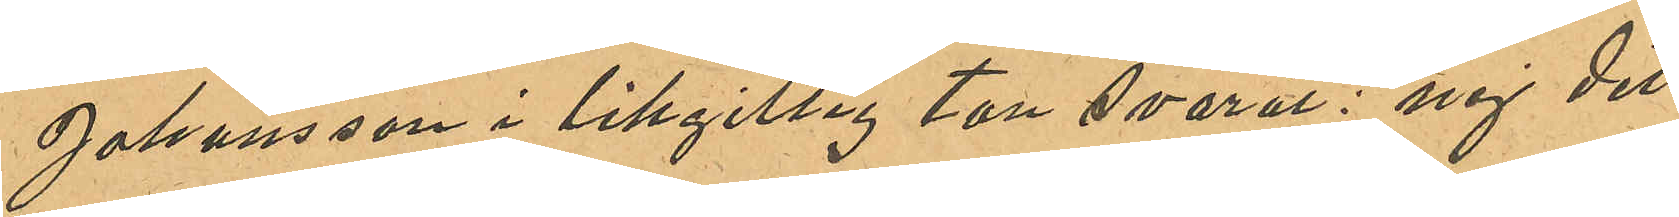Johansson i likgillig ton svarat: "nej det
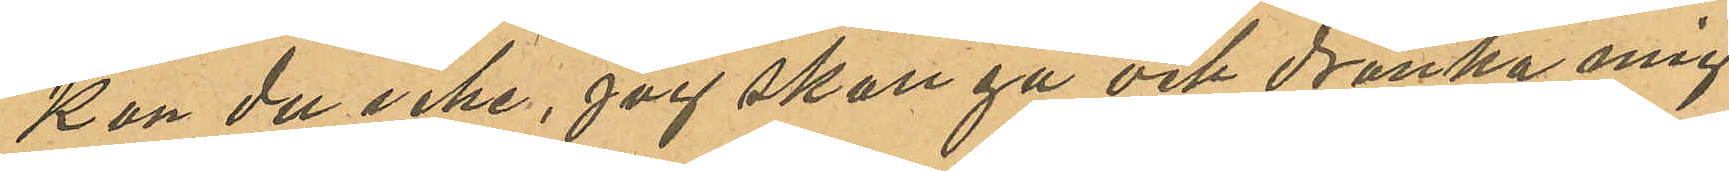kan du icke, jag skall gå och dränka mig
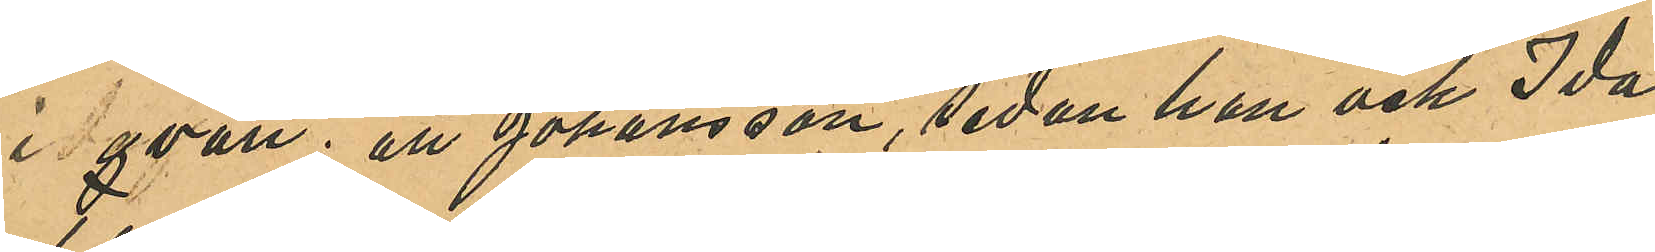i qväll"; att Johansson, sedan han och Ida
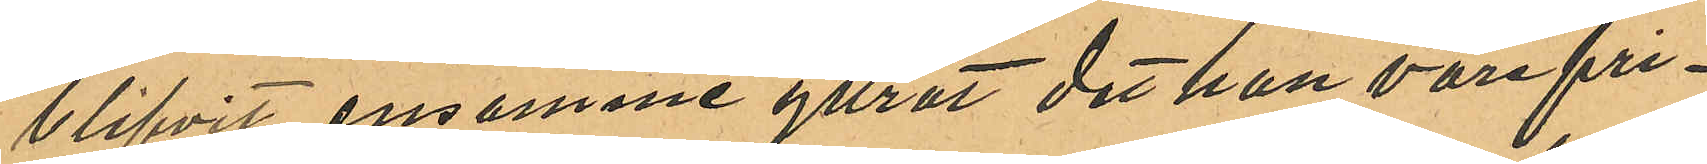blifvit ensamme yttrat det han vore fri¬
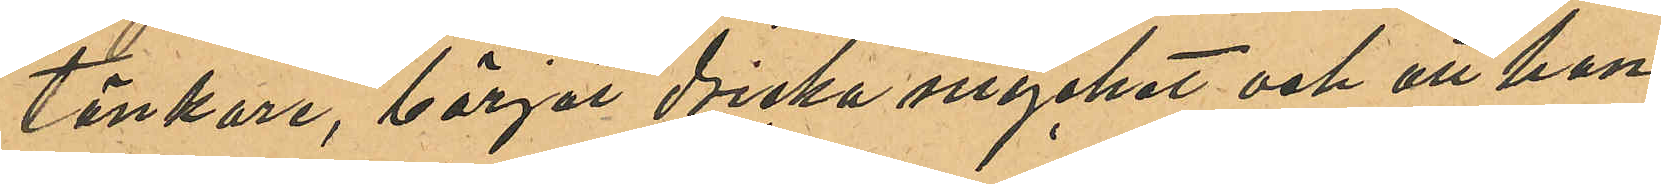tänkare, börjat dricka mycket och att han
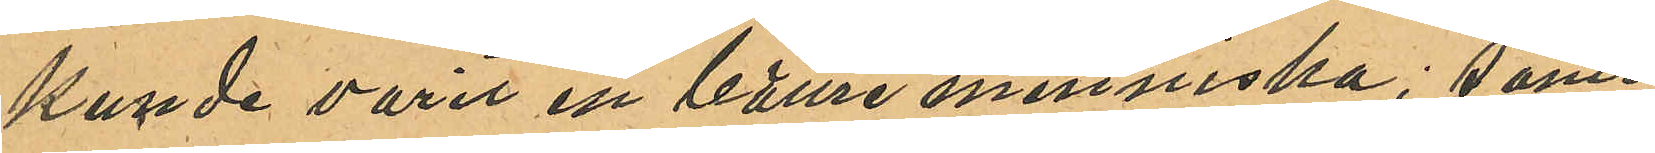kunde varit en bätre menniska; samt
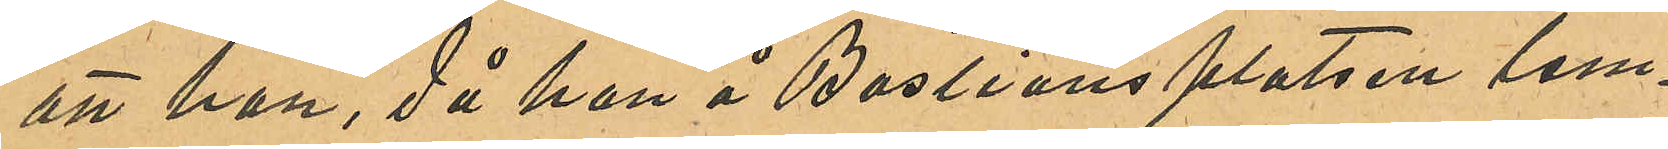att han, då han å Bastionsplatsen lem¬
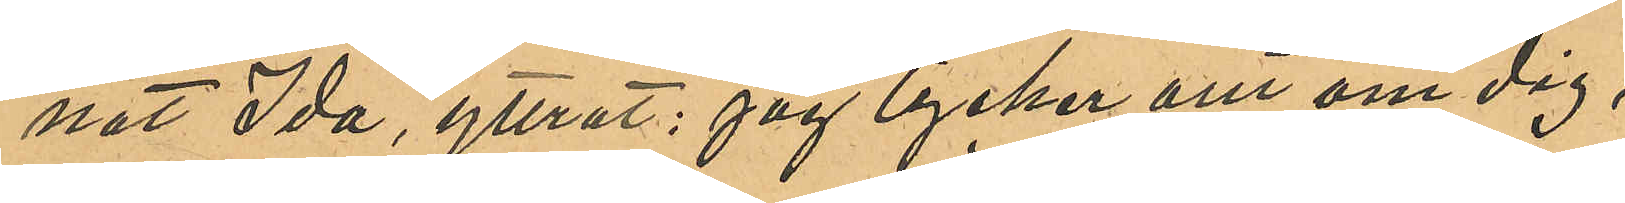nat Ida, yttrat: "Jag tycker om om dig,
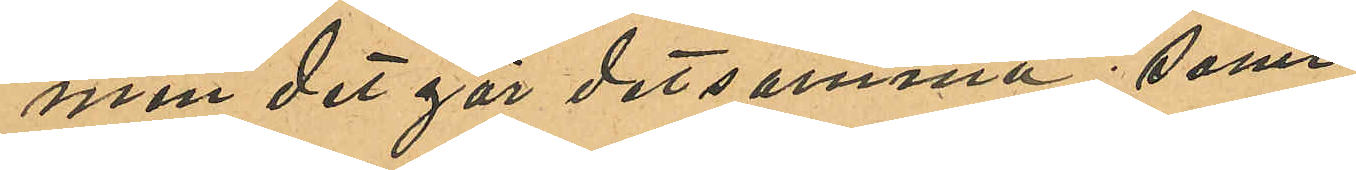men det gör detsamma"; samt
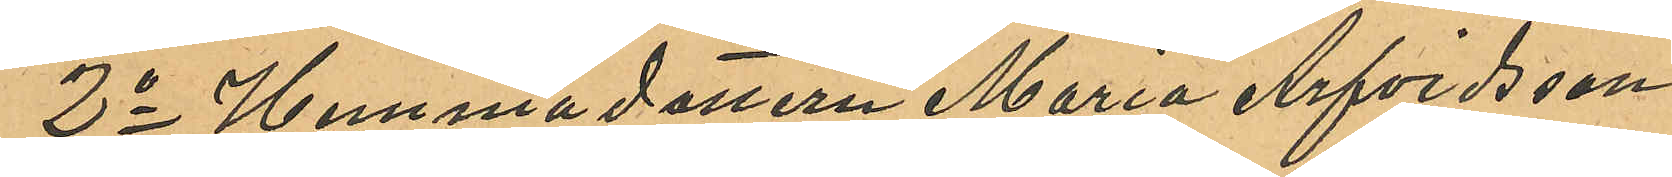2o Hemmadottern Maria Arfvidsson,
